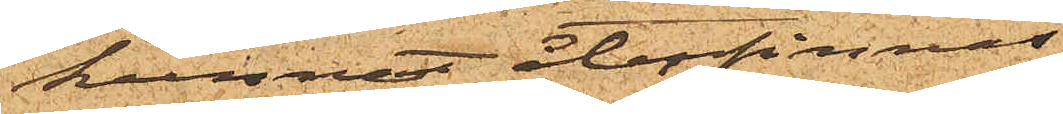kunnat återfinnas.
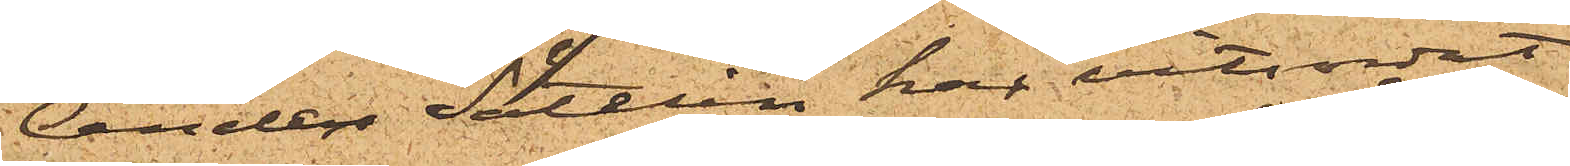Anders Sätelin har vitsordat
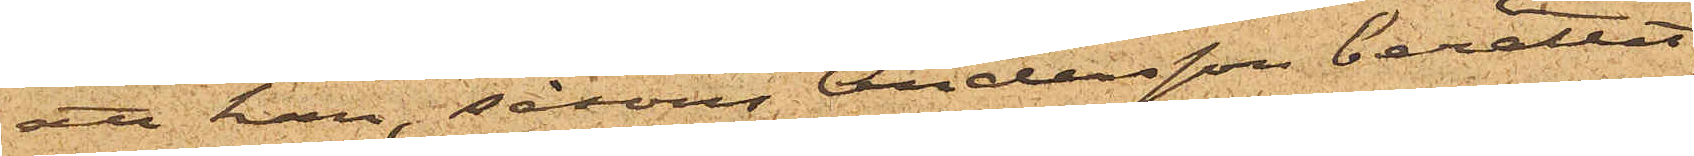att han, såsom Andersson berättat,
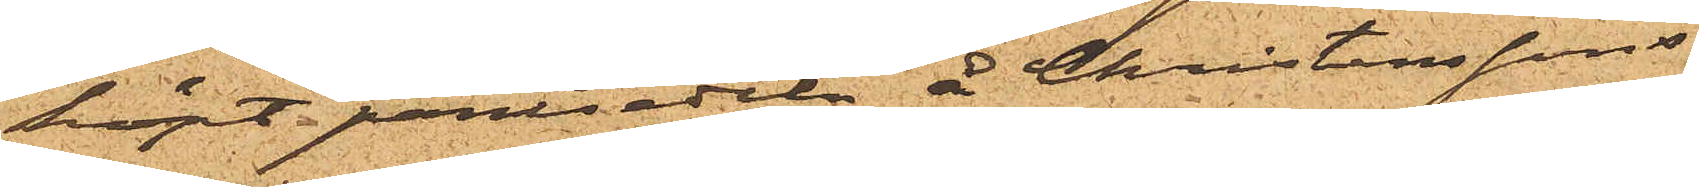köpt pantsedeln å Christenssons
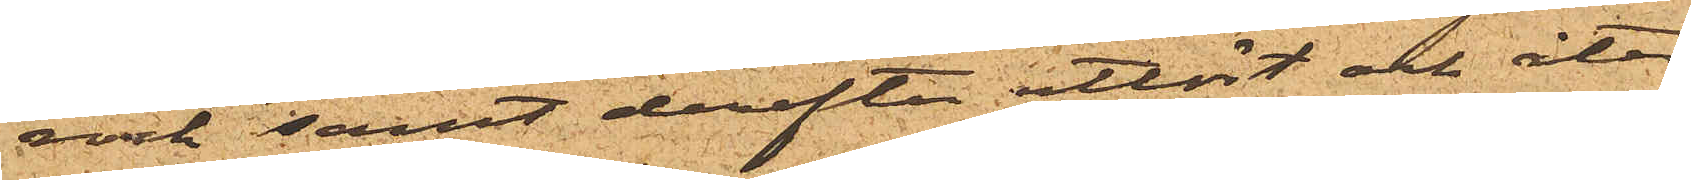rock samt derefter utlöst och åter
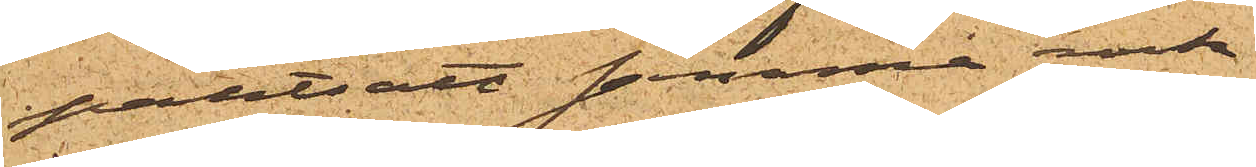pantsatt samma rock.
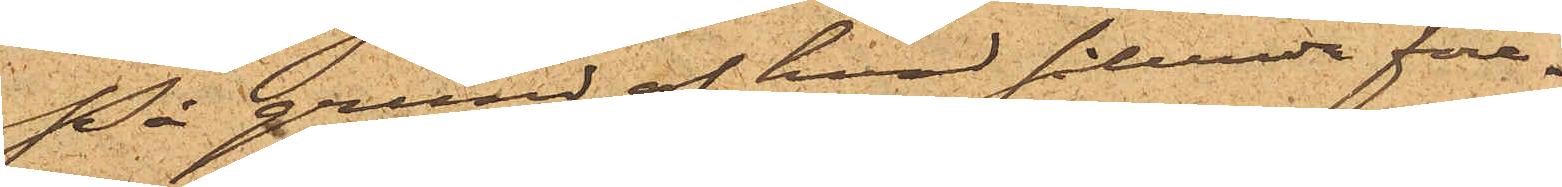På grund af hvad sålunda före¬
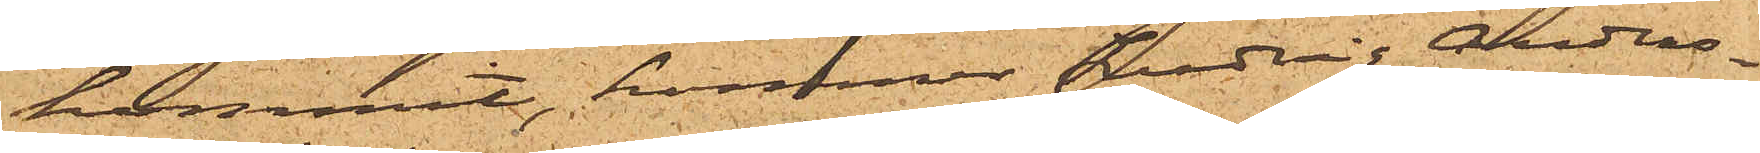kommit, kommer Ludvig Anders¬
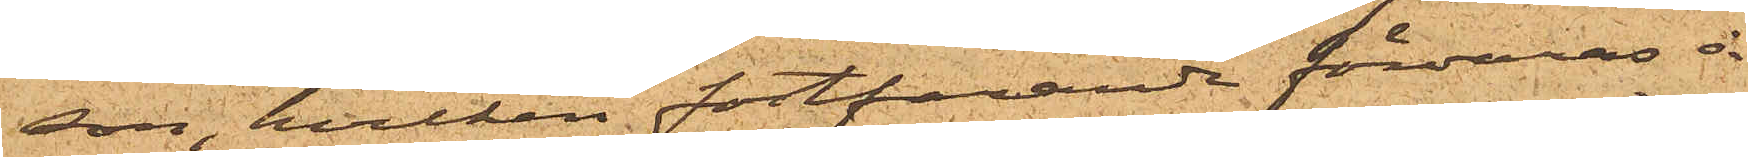son, hvilken fortfarande förvaras å
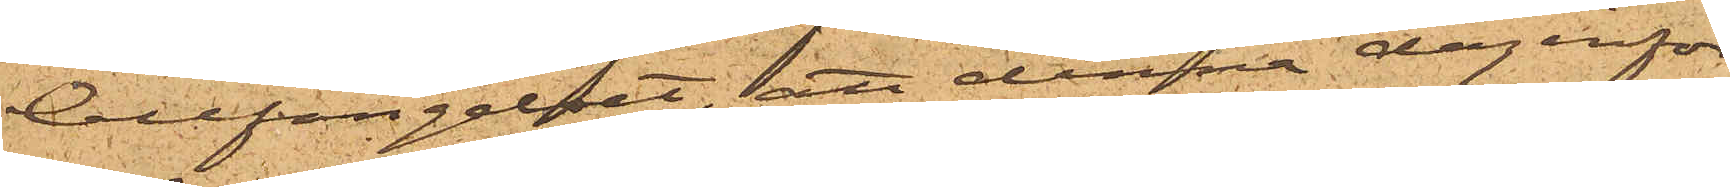Cellfängelset, att denna dag inför
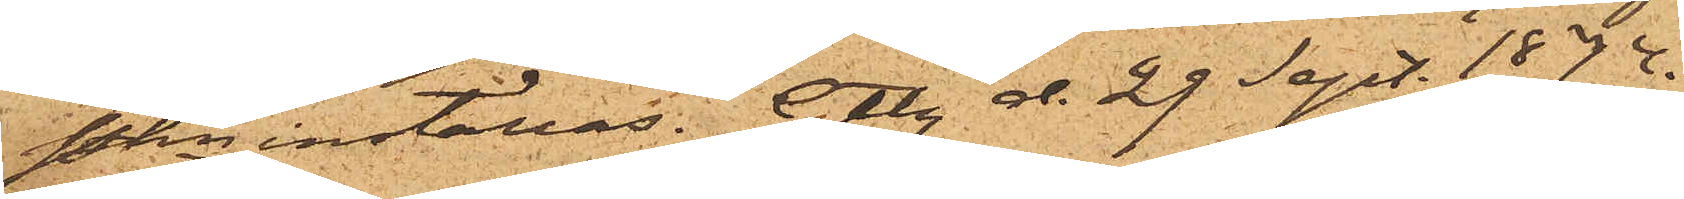Pkn inställas. Gtbg d. 29 Sept. 1874.
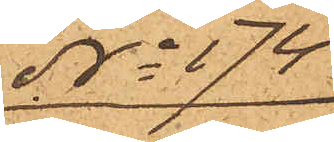No 174
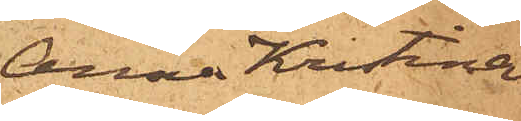Anna Kristina
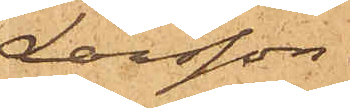Larsson
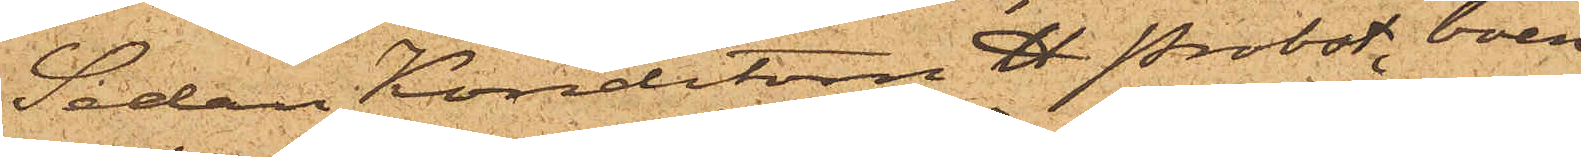Sedan Konditorn H. Probst, boen¬
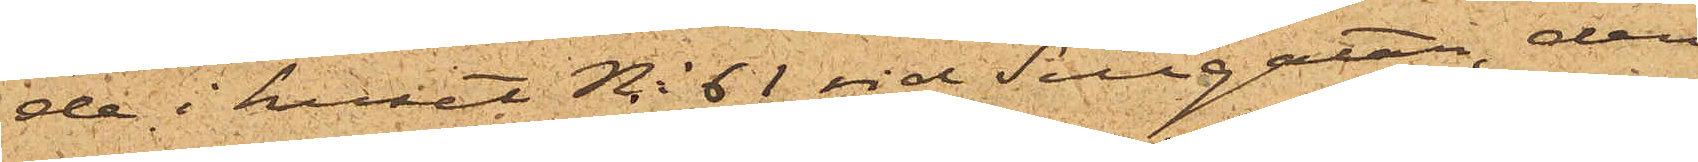de i huset No 61 vid Sillgatan, den
